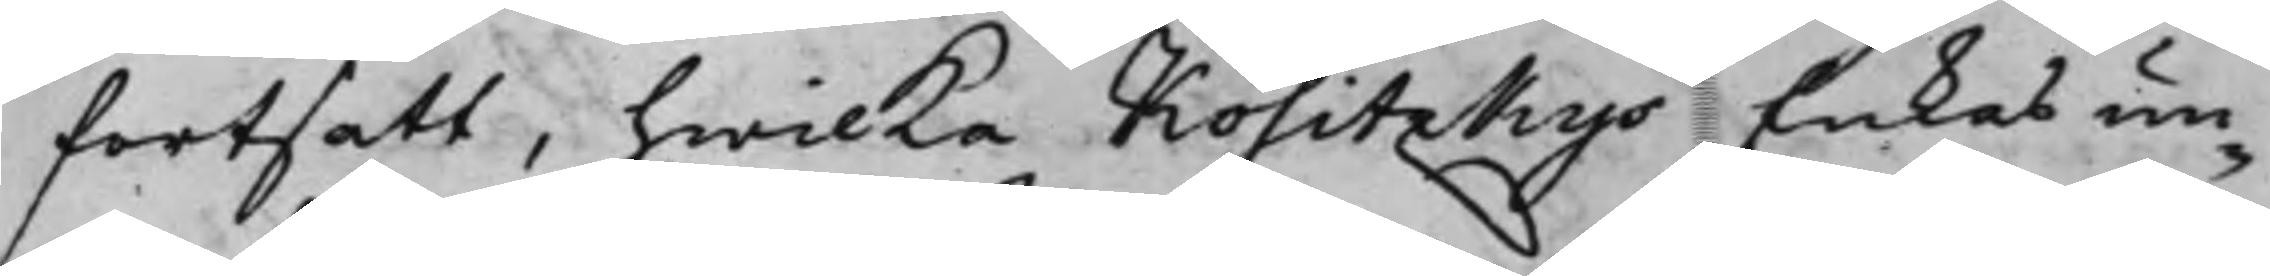fortsatt, hwilka Kositzkys Enkas un¬
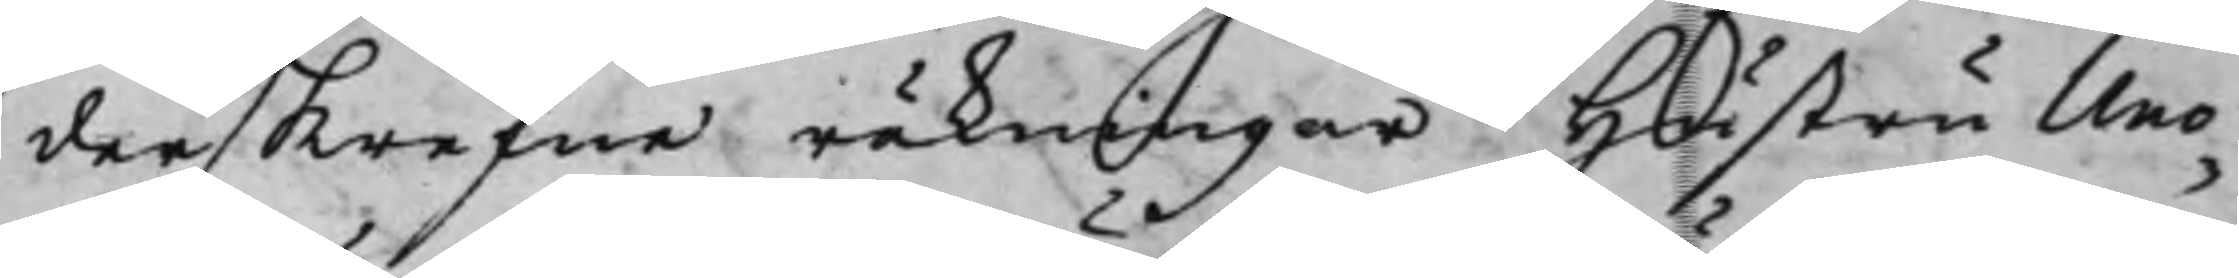derskrefne räkningar Hustru Uno¬
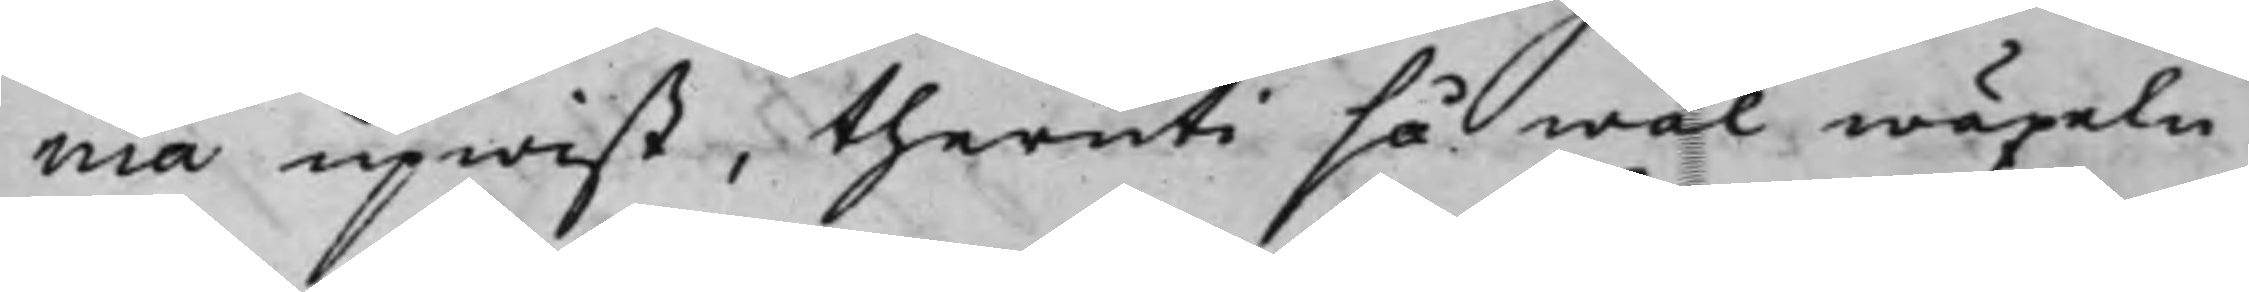nia upwist, theruti så wäl wäxeln
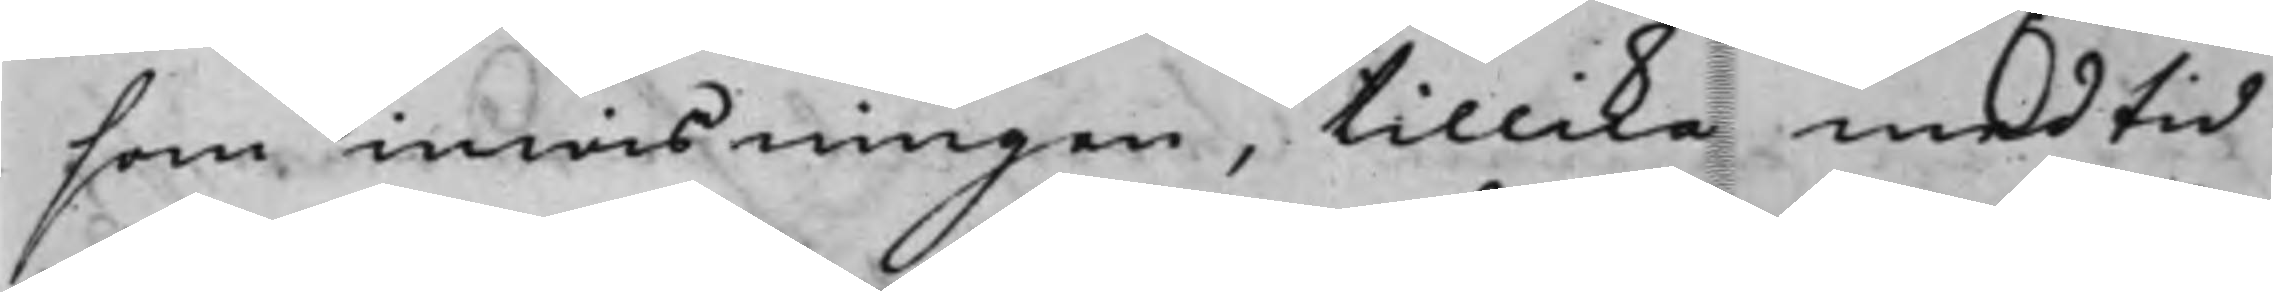som inwisningen, tillika med tid
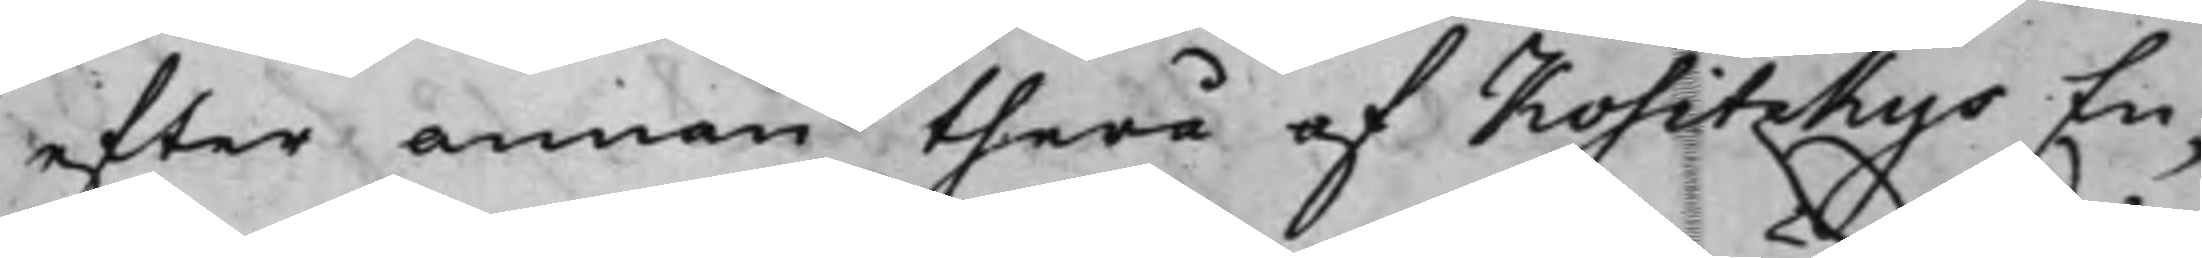efter annan therå af Kositzkys En¬
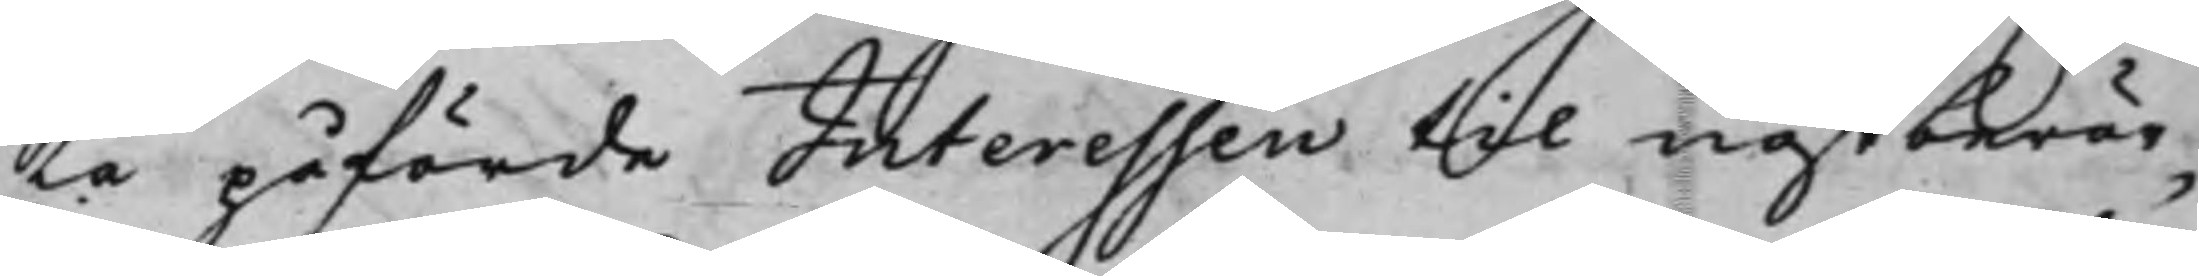ka påförde Interessen til nästberör¬
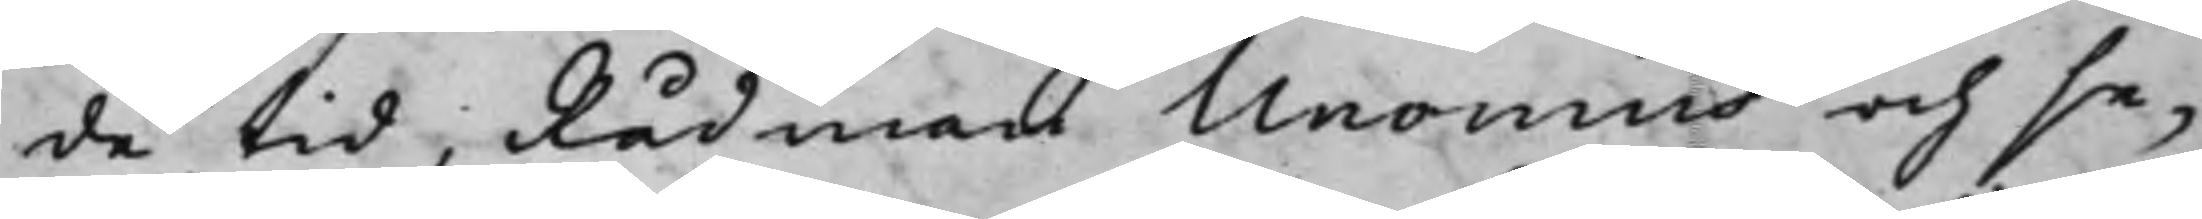de tid, Rådman Unonius och se¬
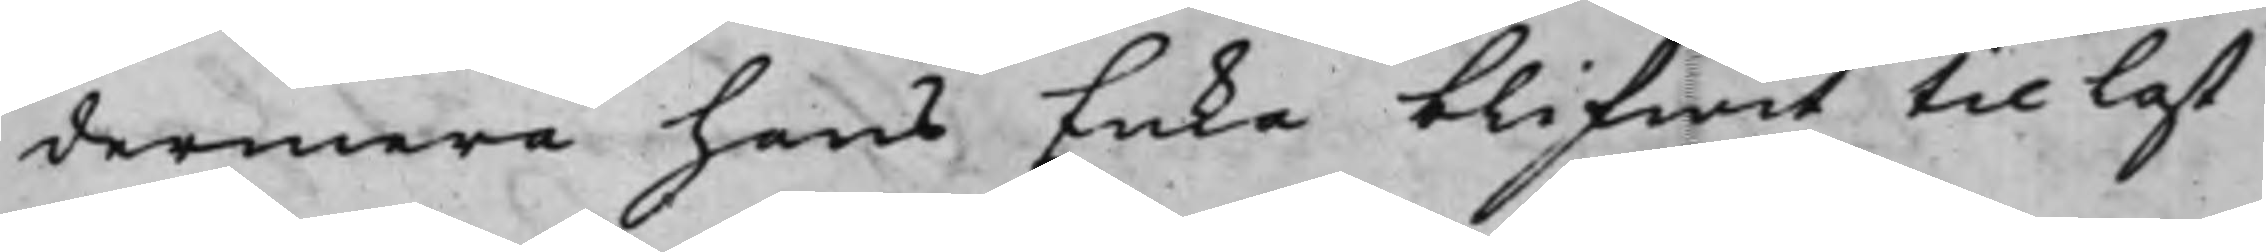dermera hans Enka blifwit til last
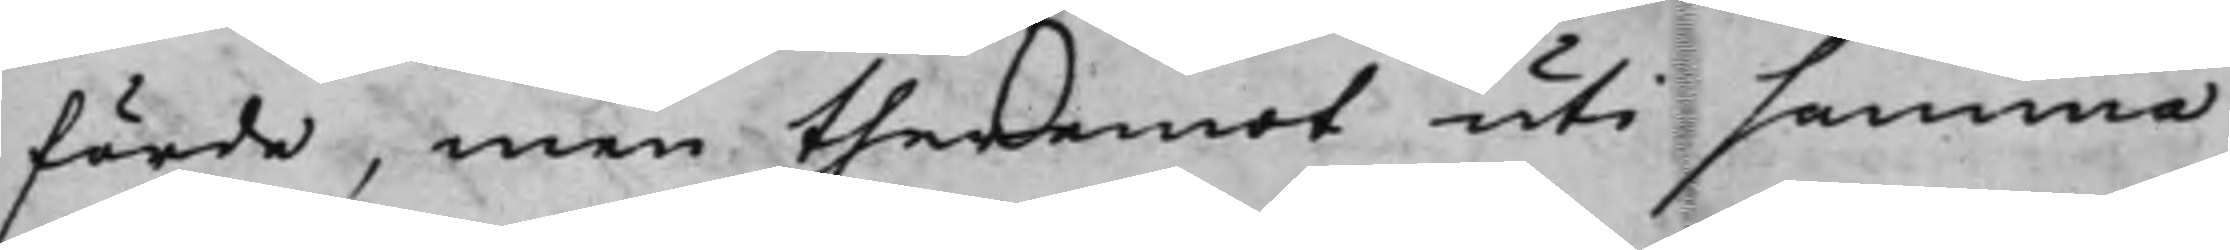förde, men theremot uti samma
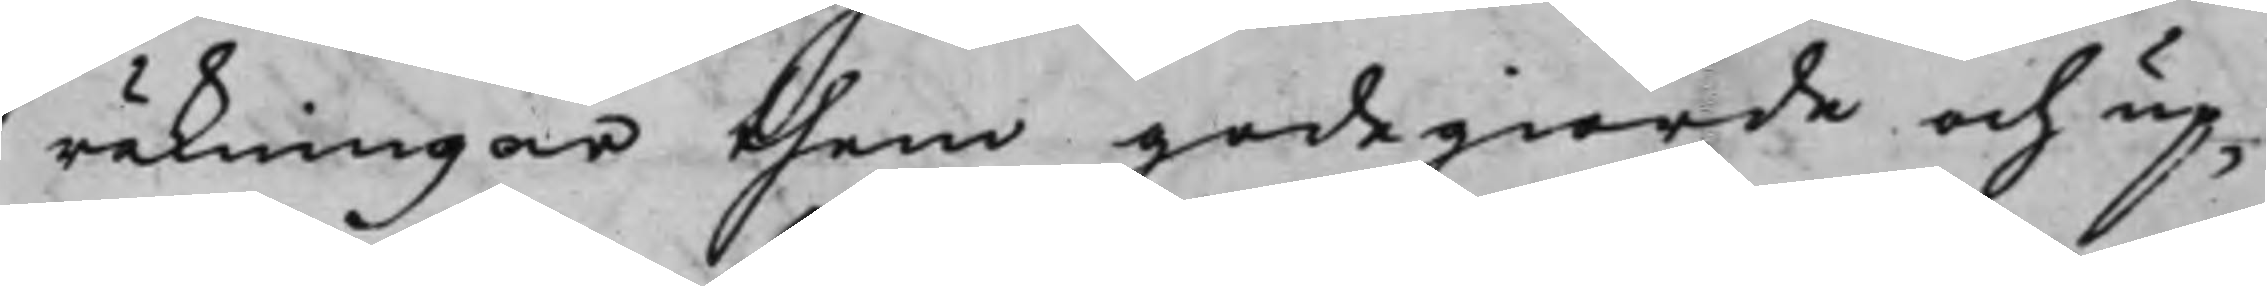räkningar then godegiorde och up¬
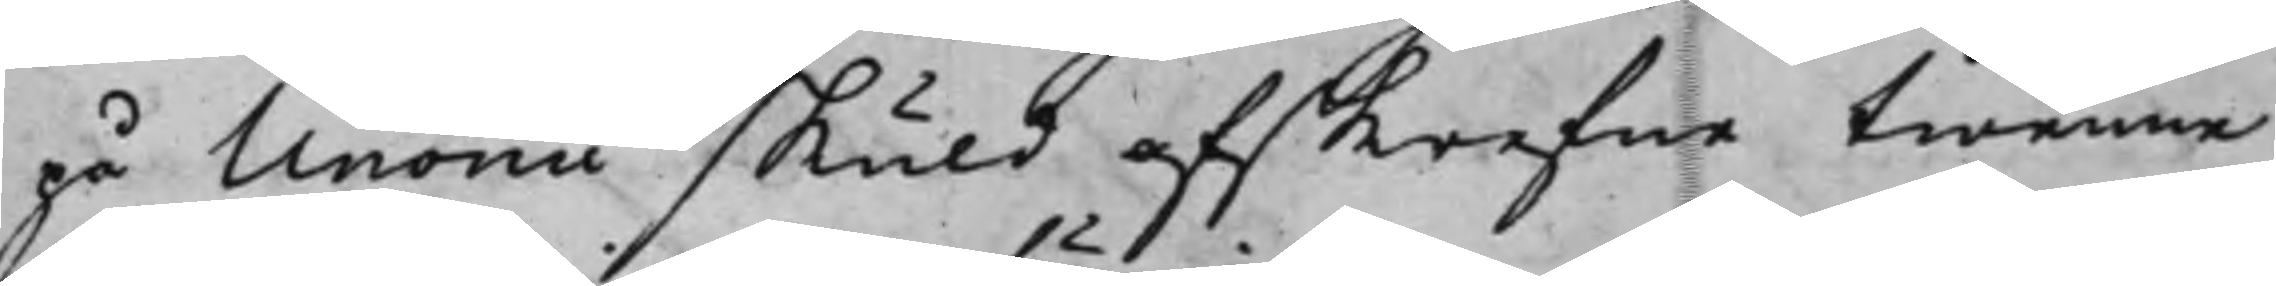på Unonii skuld afskrefne twenne
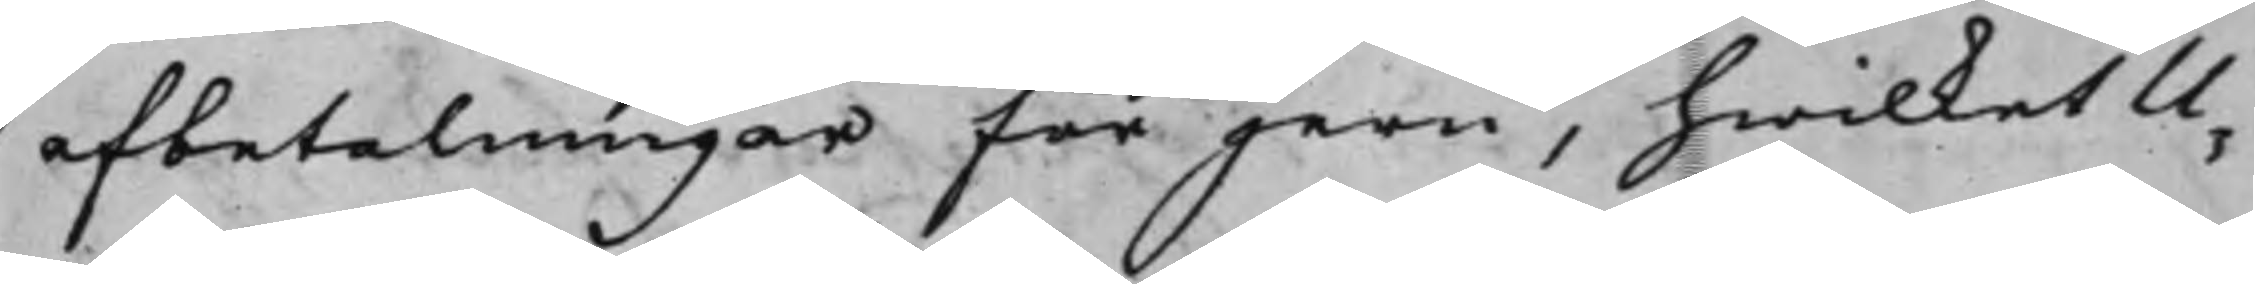afbetalningar för jern, hwilket U¬
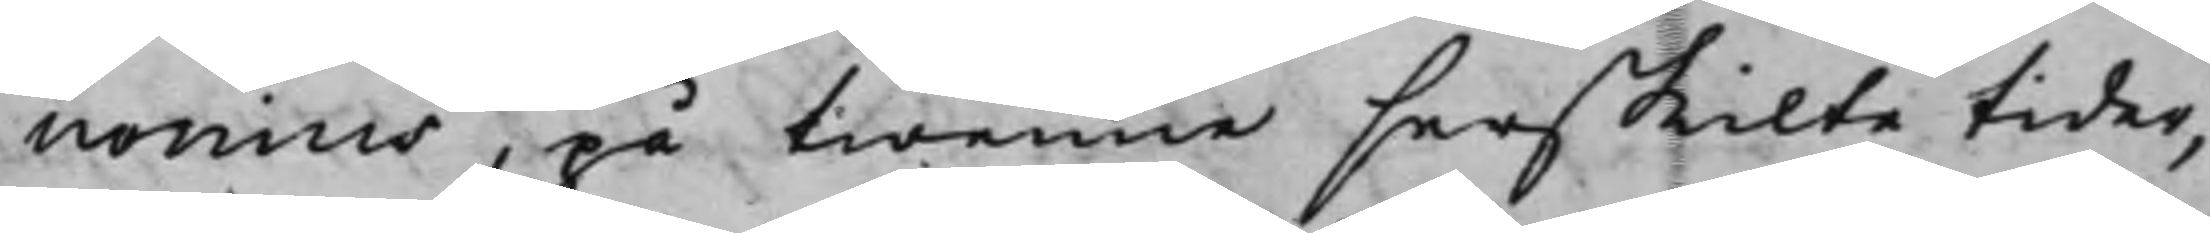nonius, på twenne serskilte tider,
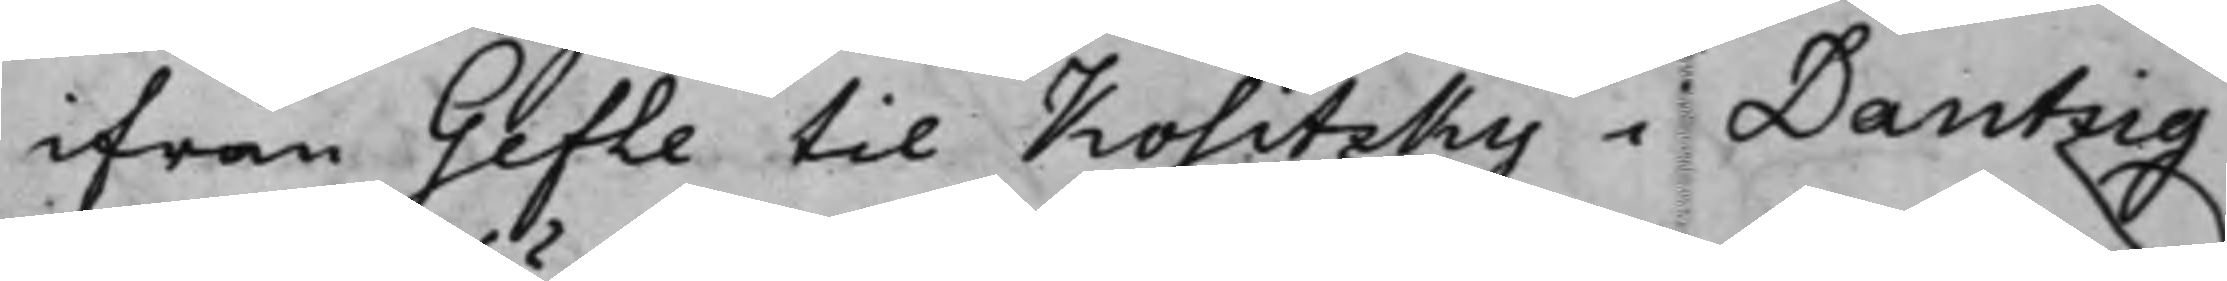ifrån Gefle til Kositzky i Dantzig
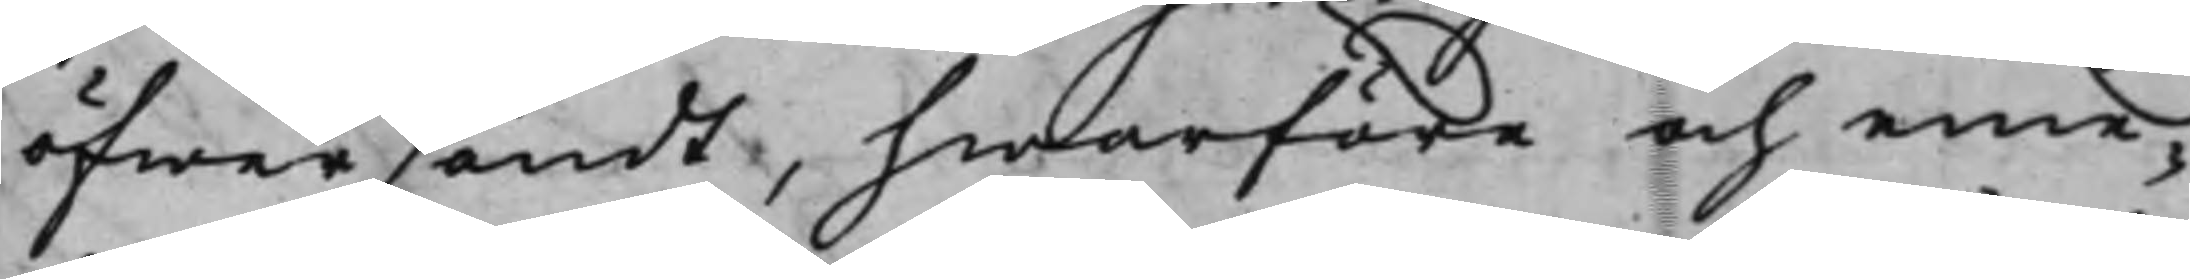öfwersändt, hwarföre och eme¬
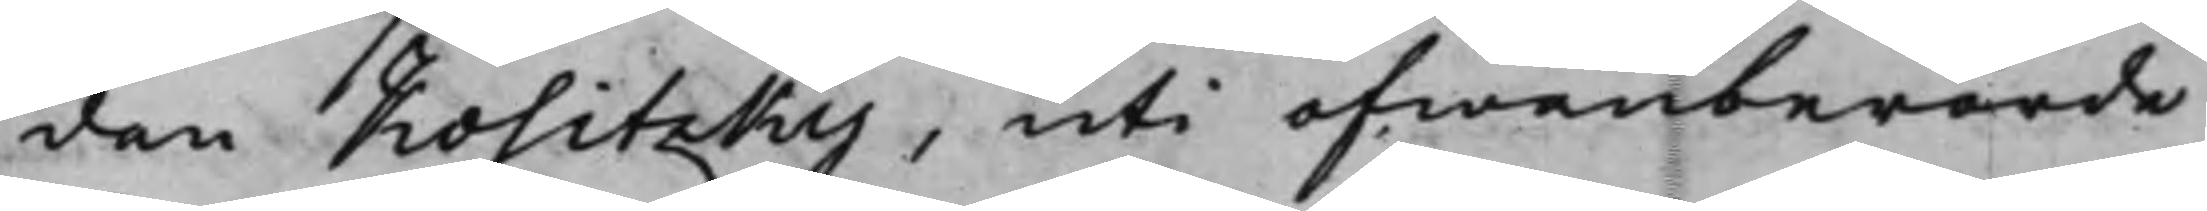dan Kositzky, uti ofwanberörde
